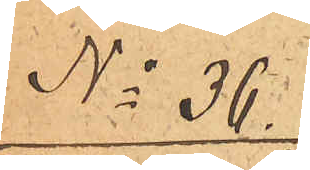No 36.
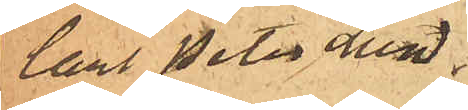Carl Peter Lund¬
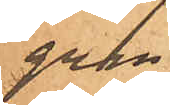gren
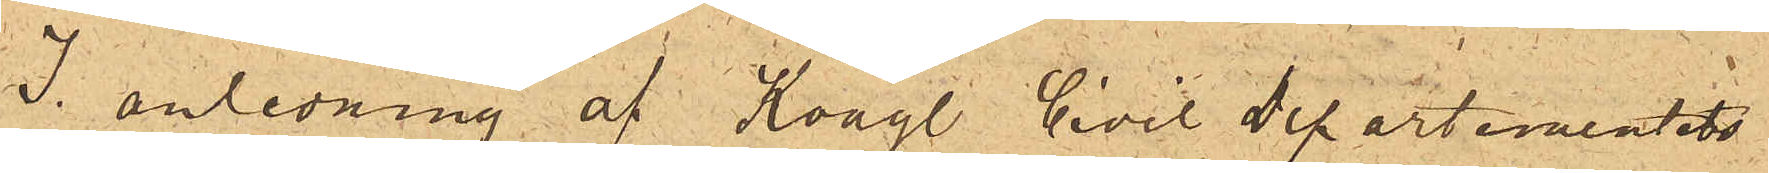I anledning af  Kongl. Civil Departementets
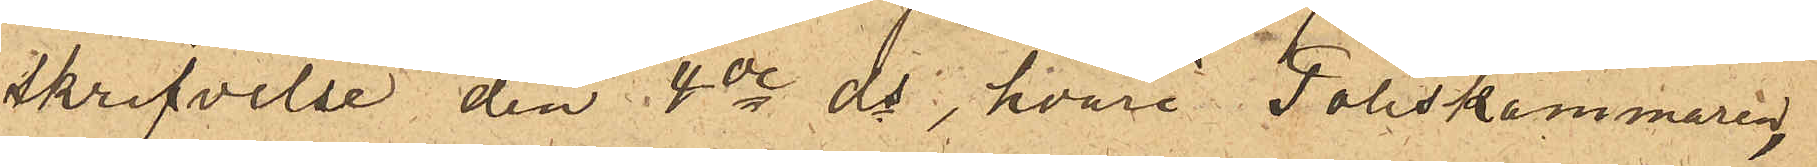skrifvelse den 4de ds, hvari Poliskammaren
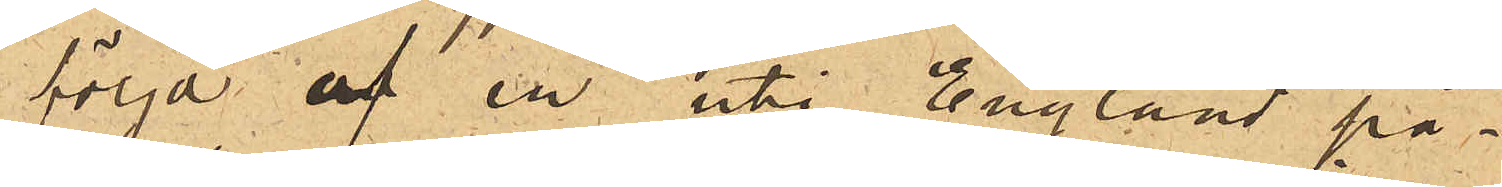i följd af en uti England på¬
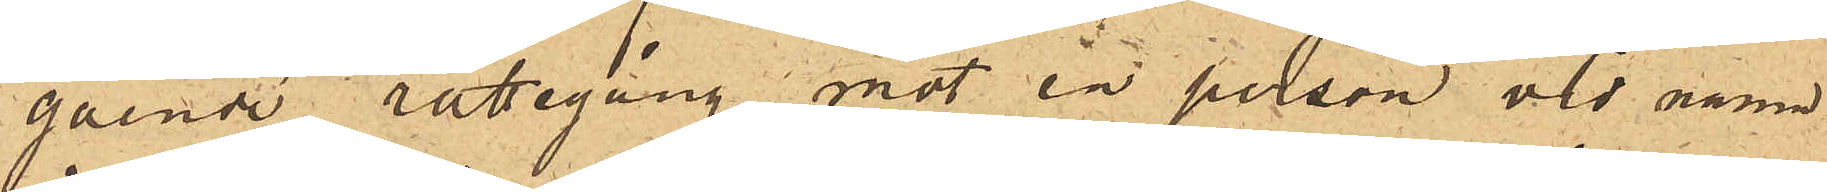gående rättegång mot en person vid namn
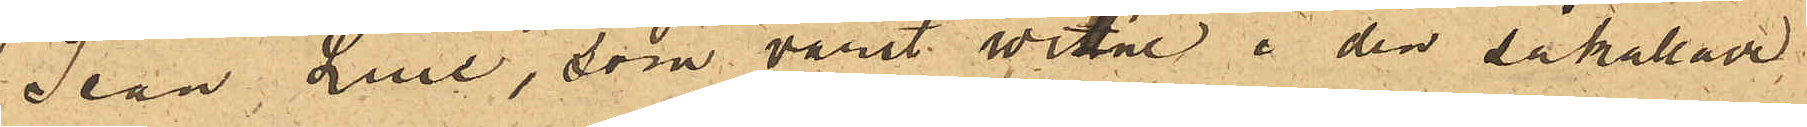Jean Luie, som varit witne i den såkallade
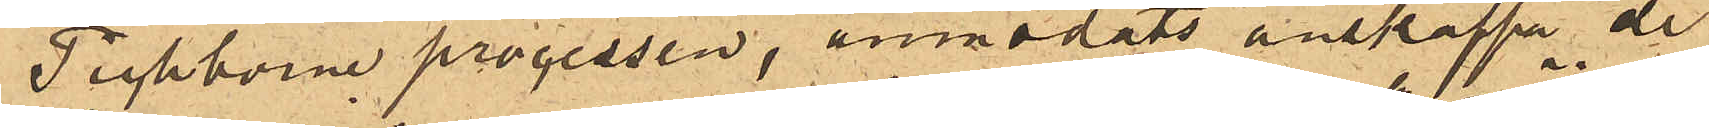Tichborne processen, anmodats anskaffa de
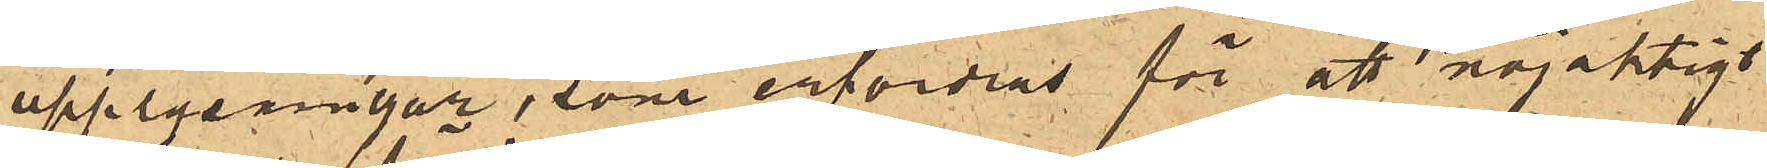upplysningar, som erfordras för att nöjaktigt
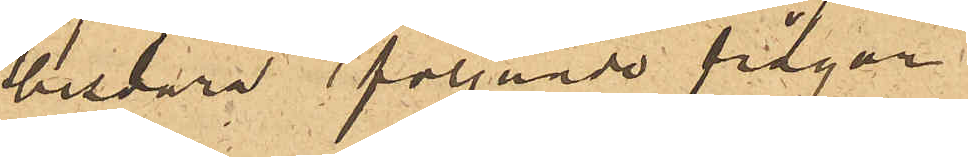besvara följande frågor.
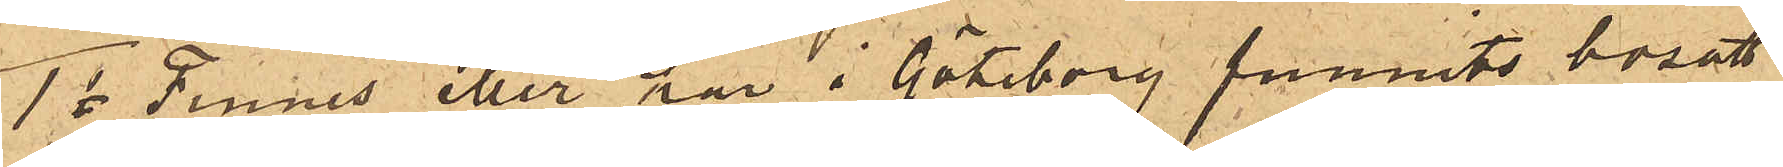1o Finnes eller har i Göteborg funnits bosatt
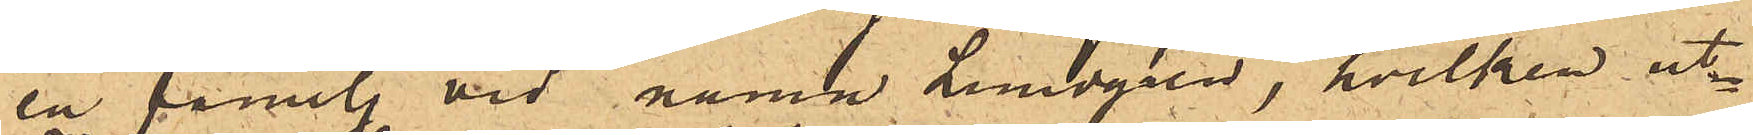en familj vid namn Lundgren, hvilken ut¬
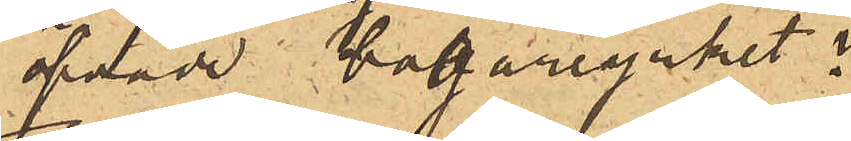öfvade bagareyrket?
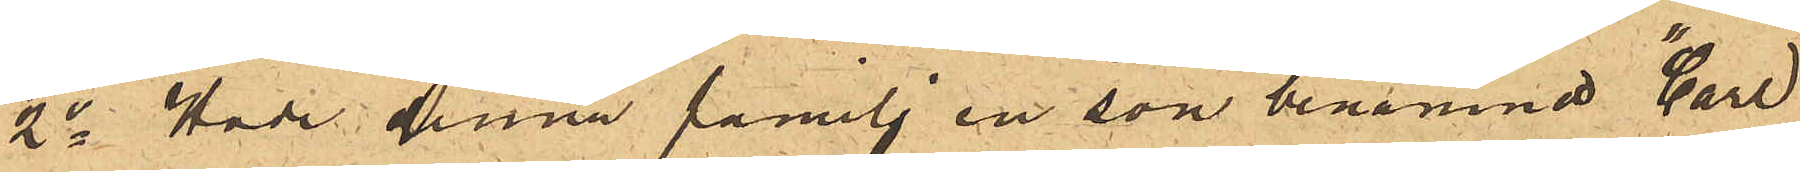2o Hade denna familj en son benämnd "Carl
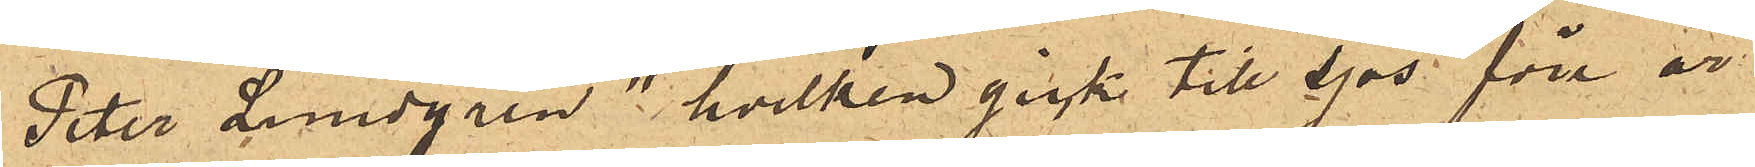Peter Lundgren" hvilken gick till sjös före år
